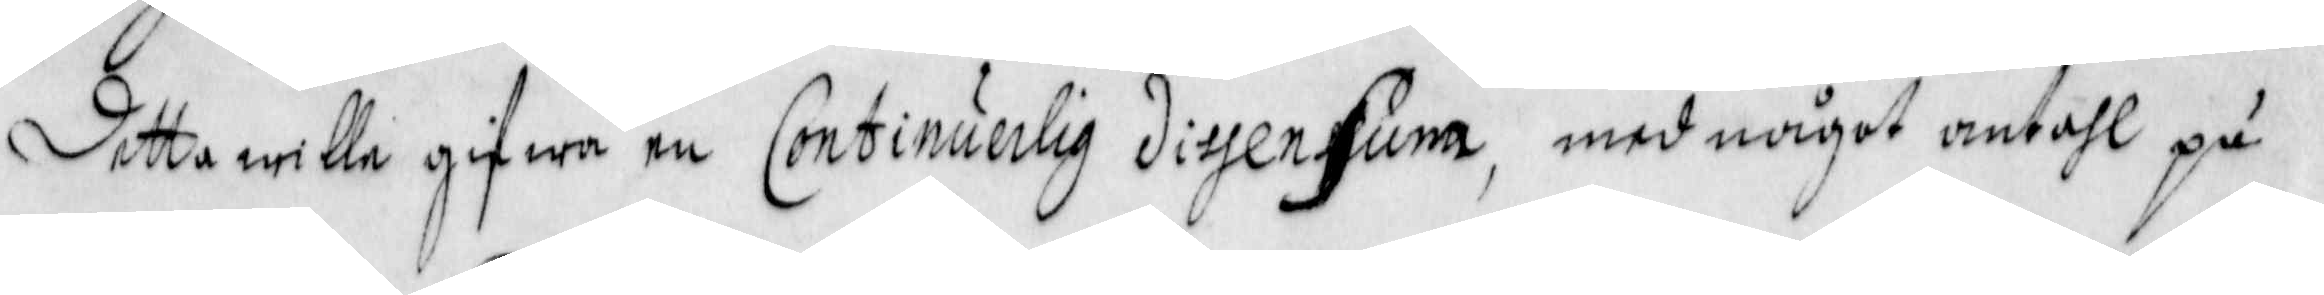detta wille gifwa en Continuerlig diyensim, med något antahl på
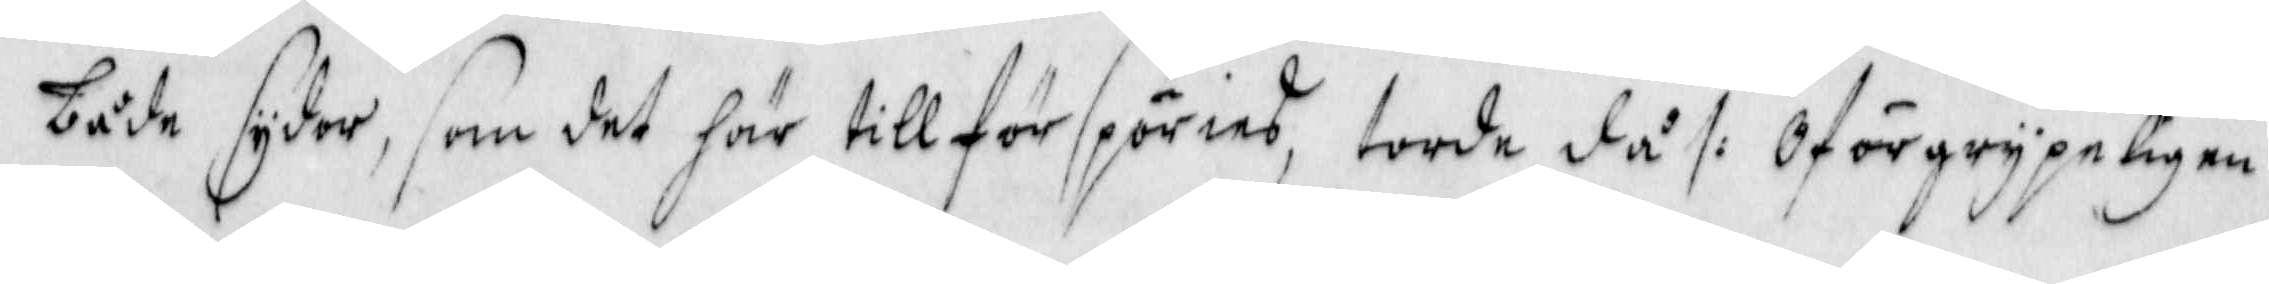både sydor, som det här till för spöries, torde då /: Oförgrypeligen
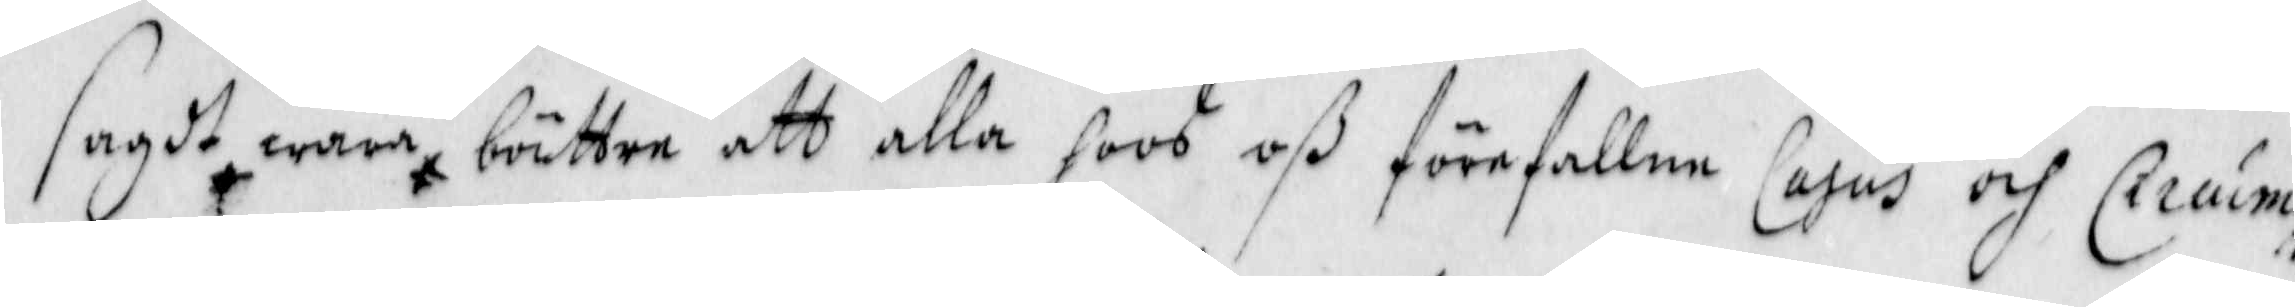sagdt wara bättre att alla hoos oß förefallne Casus och Ciruim¬
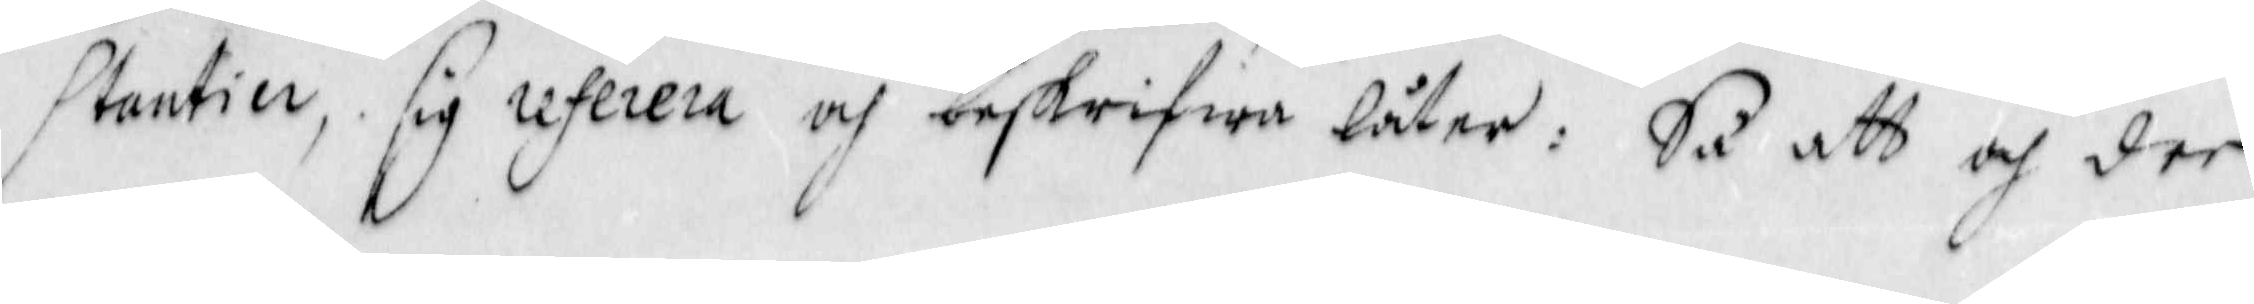santier, sig referera och beskrifwa låter: Så att och der
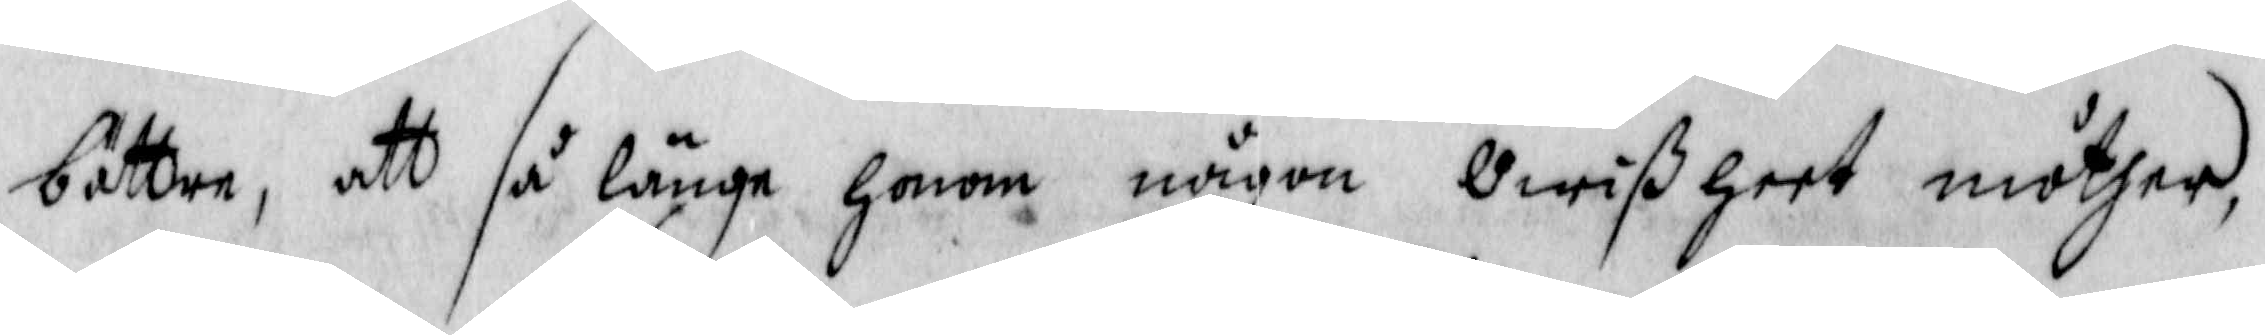bättre, att så länge honom någon Owißheet möther
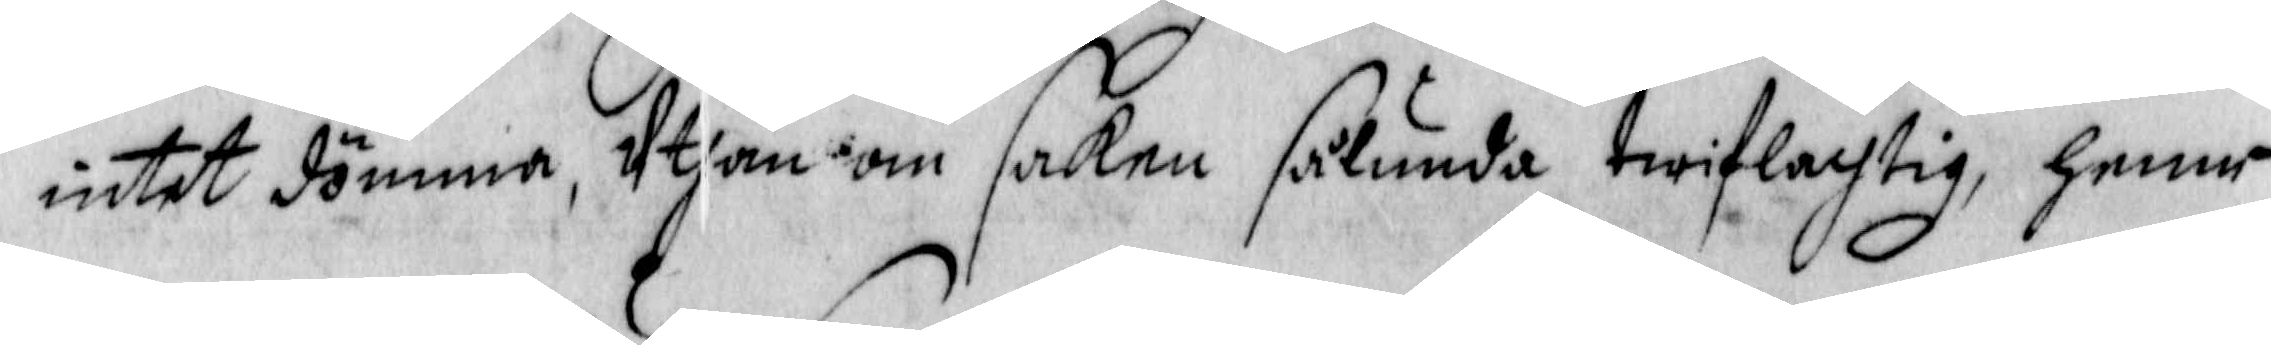intet dömma, Uthan om saken sålunda twiflachtig, hemm¬
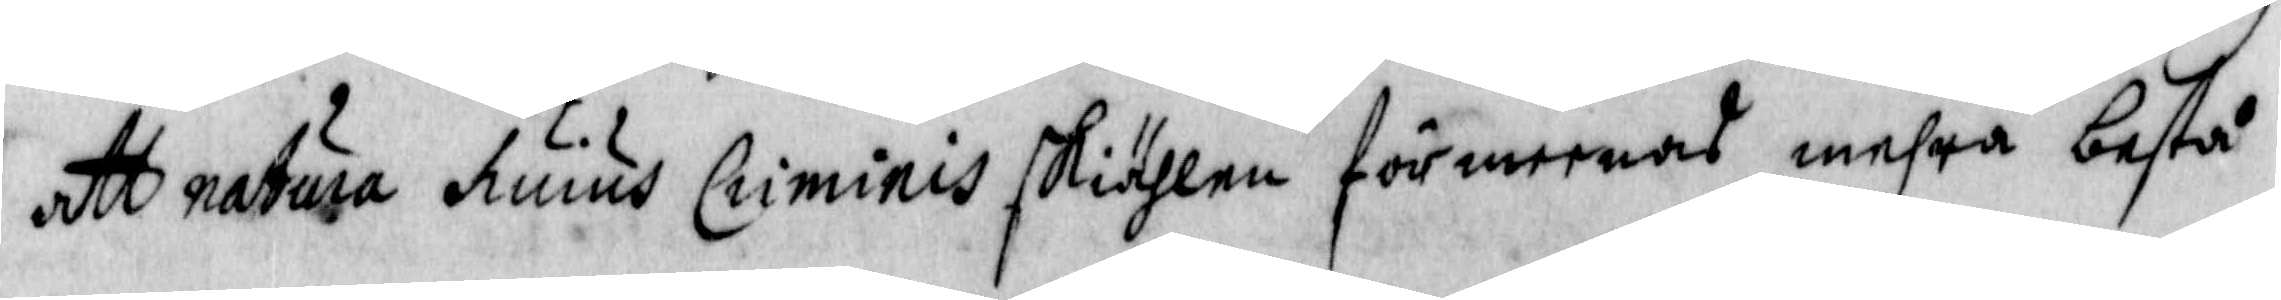att natura huius Crininis skiähligen frömeeras mehra bestå
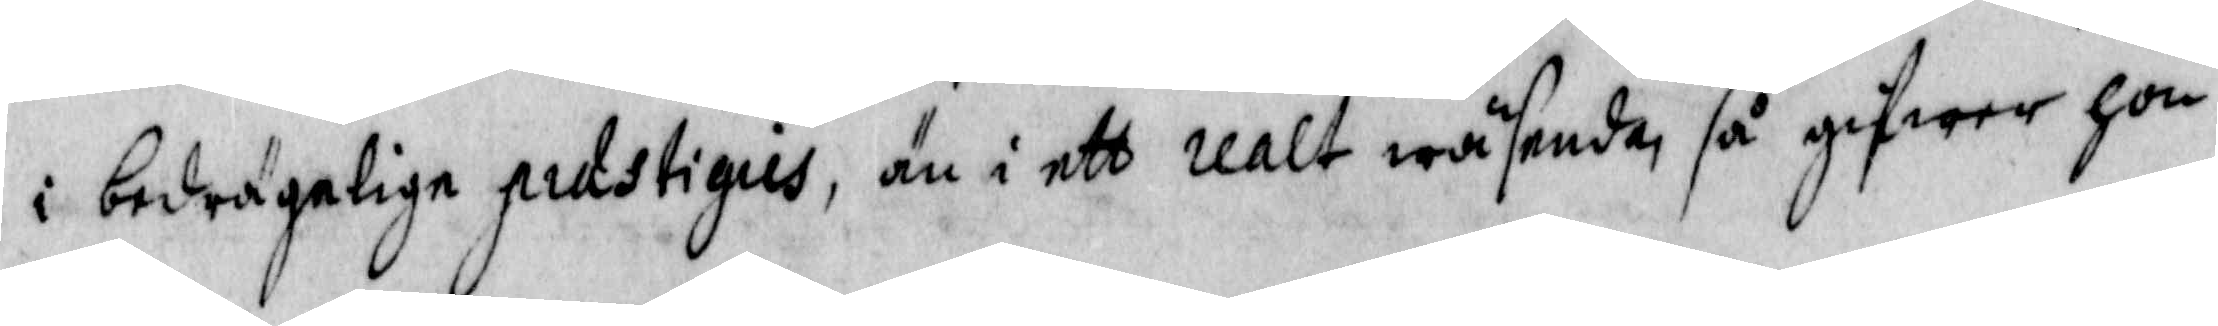i bedrägelige prastigiis, än i ett realt wäsende så gifwer han
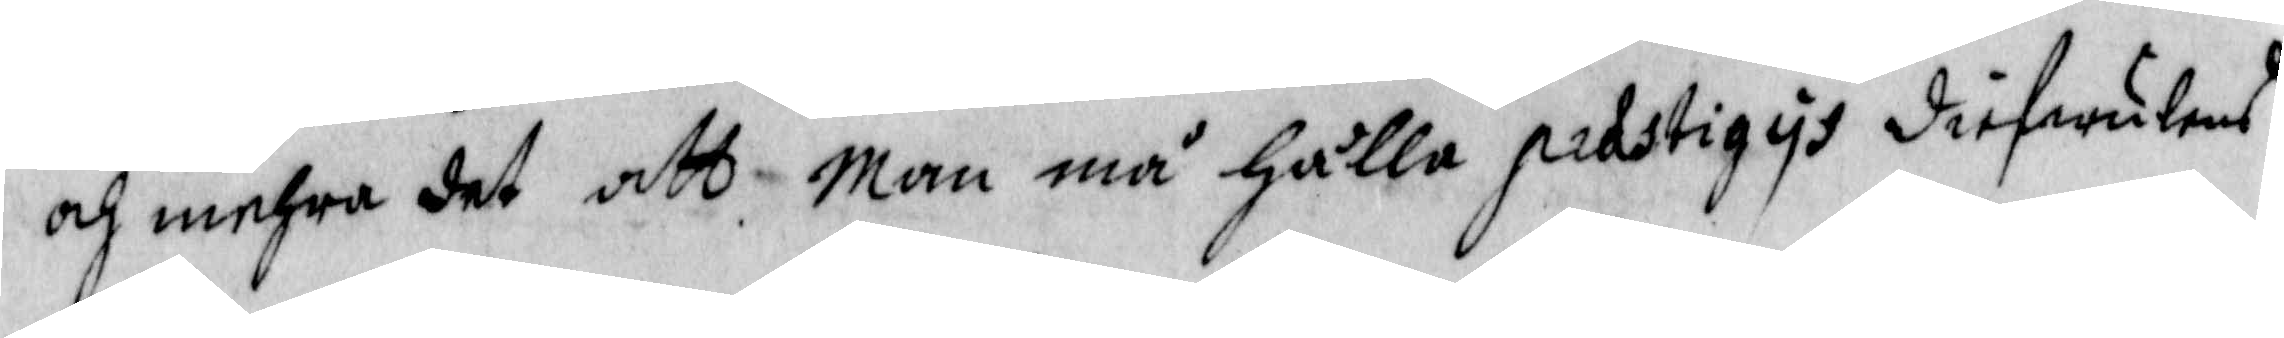och mehra det att man må hålla prastigiys diefwulens
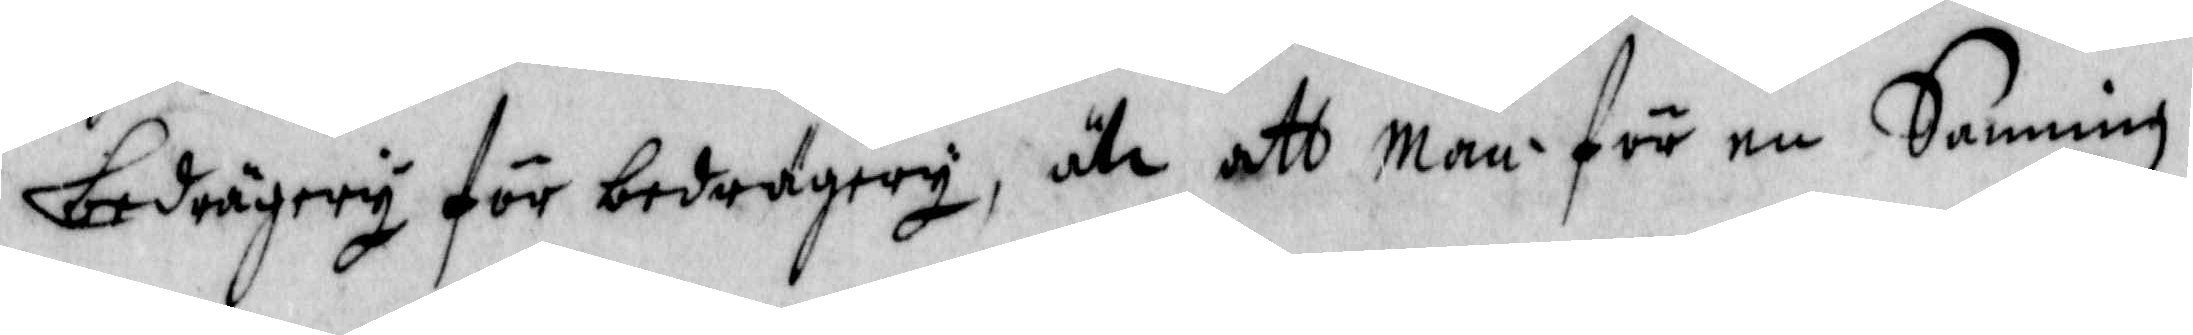bedrägery för bedrägery, uti att man för en Sanning
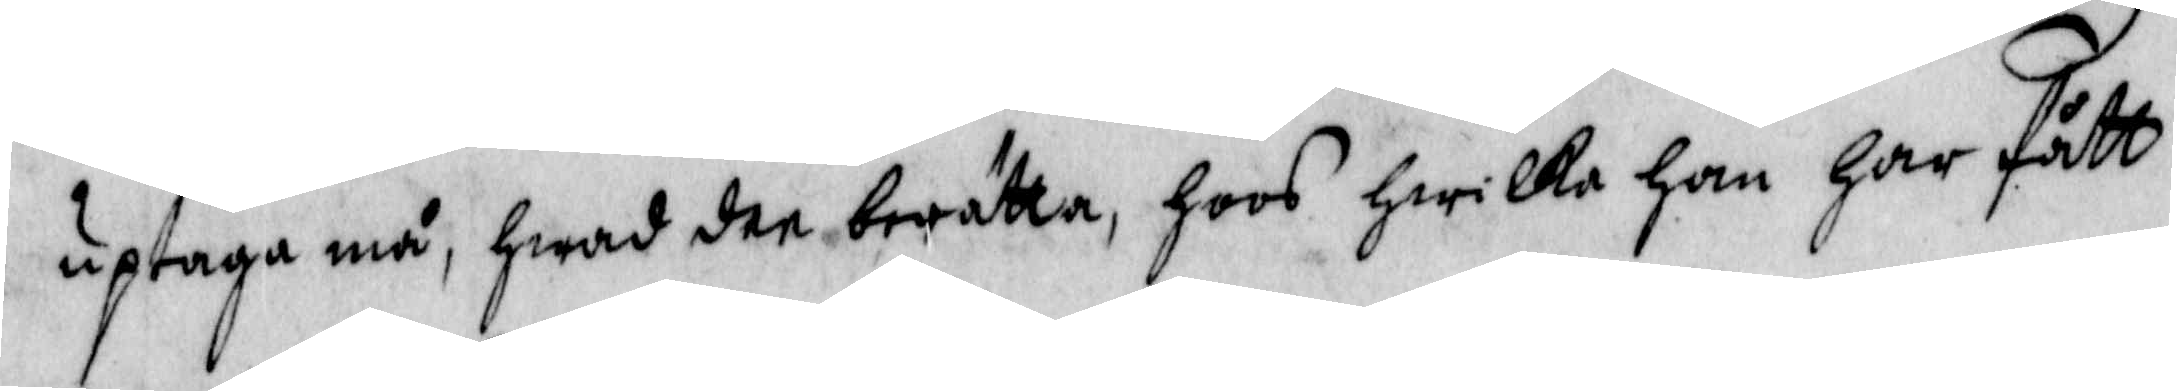uptaga må, hwad dee berätta, hoos hwilka han har fått
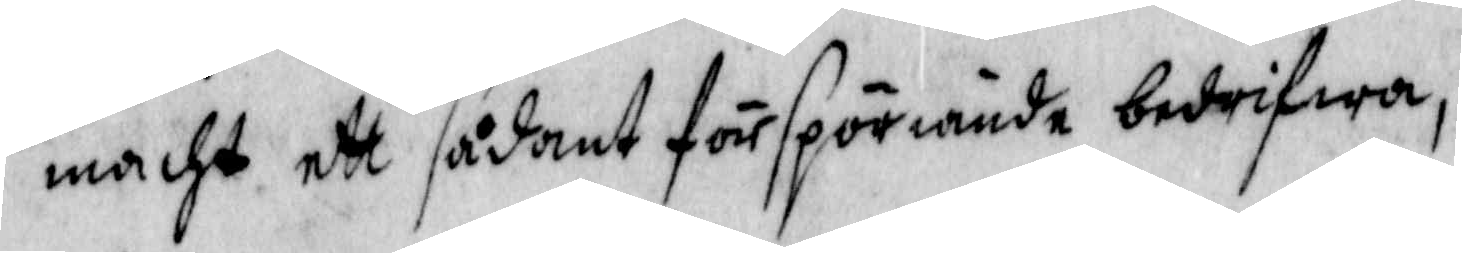macht ett sådant förspöriande bedrifwa,
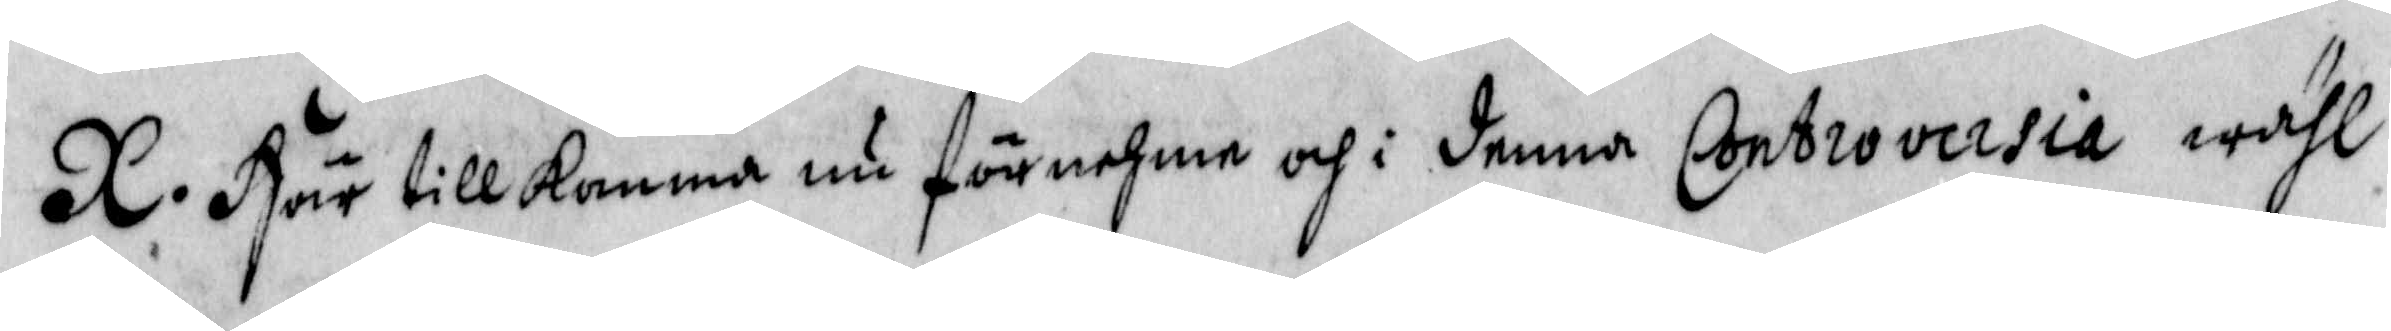X. Här tillkomma nu förnehme och i denna Controversia wähl
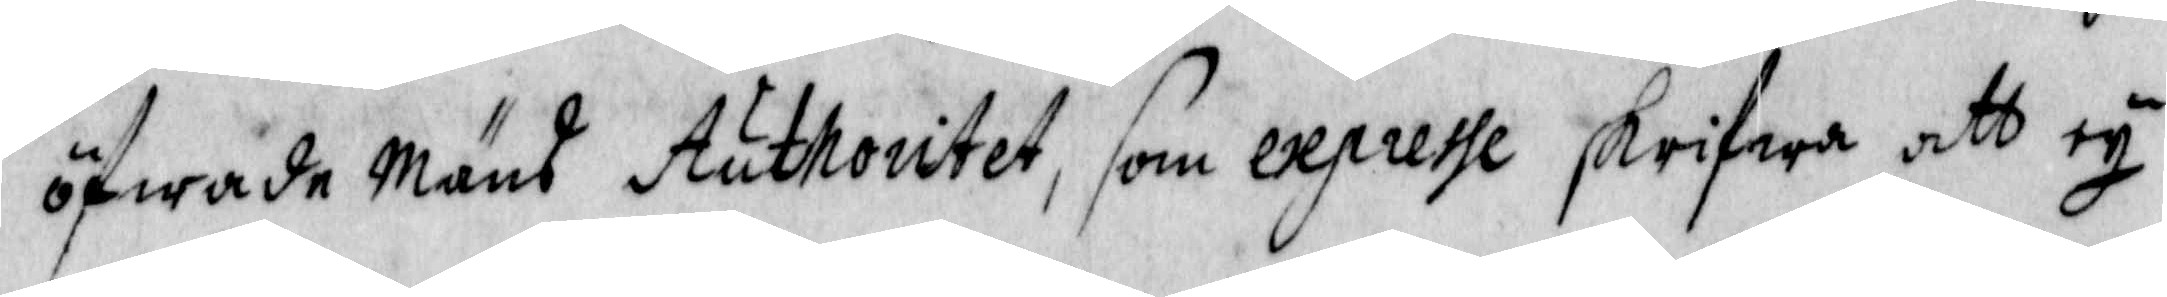öfwade Mäns Authoritet, som expresse skrifwa att ey
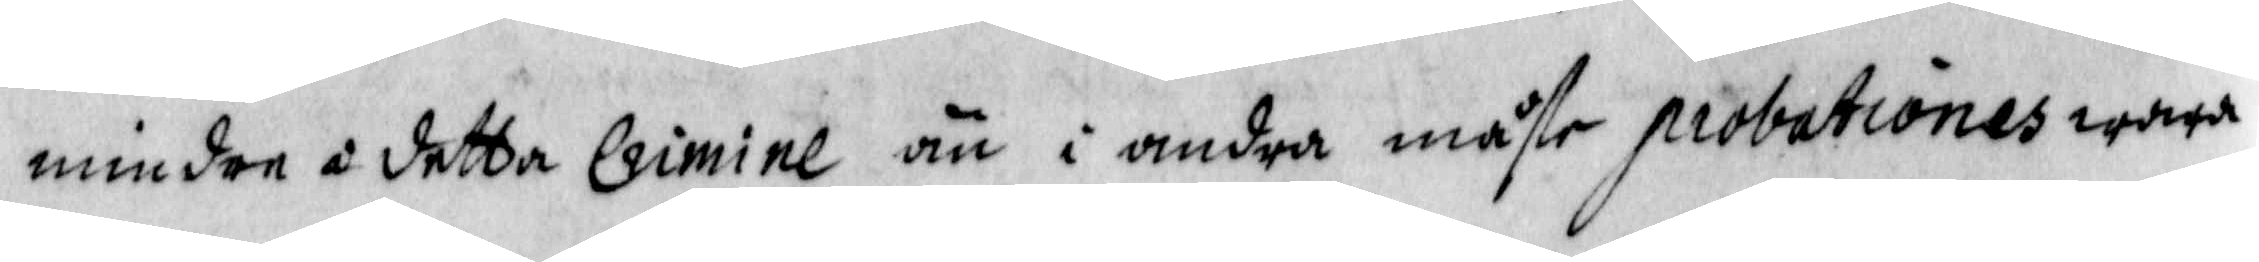mindre i detta Crimine än i andra måste probationes wara
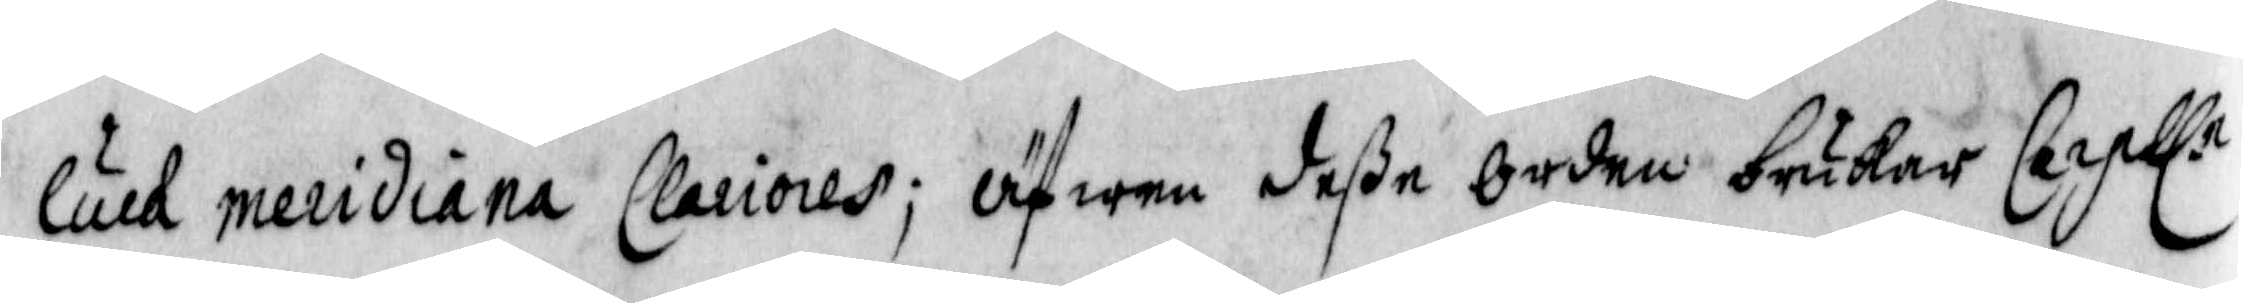lärd meridiana Clariores, öfwer deße orden brukar Carpll.n
